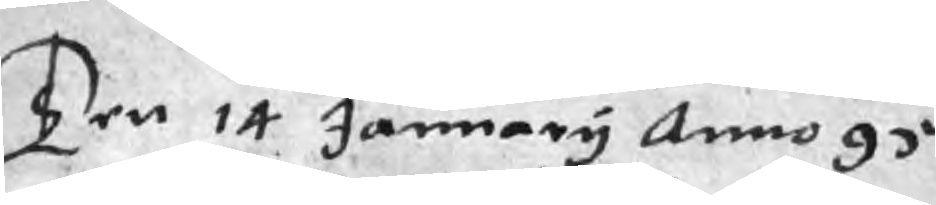Ten 14 January Anno 95
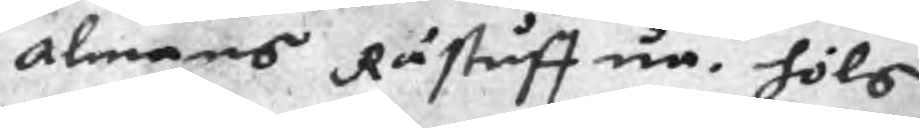Almans Råstuffua. höls
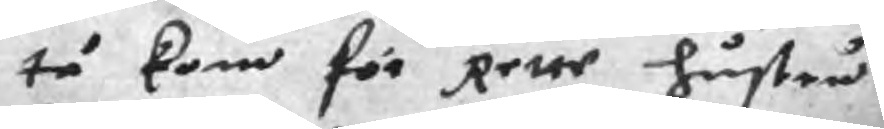tå kom för Rette hustru
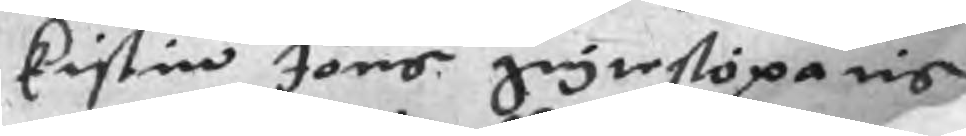Kistin Jöns grytestöparis
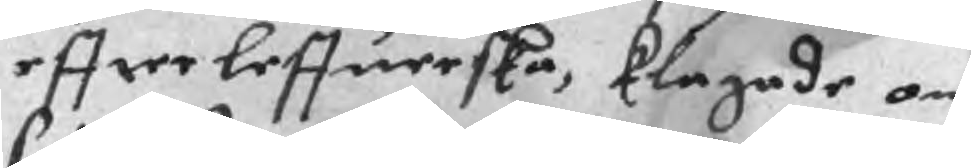effter leffuerska, klagade om
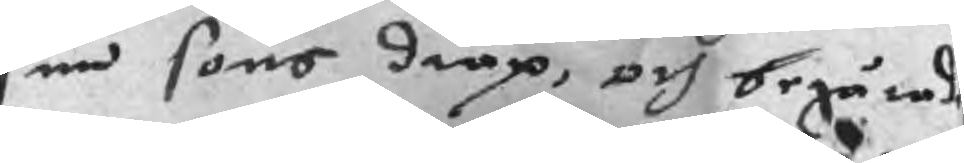sin sons dråp, och begärade
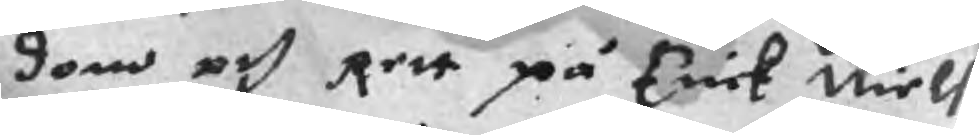dom och Rett på Erick Niels
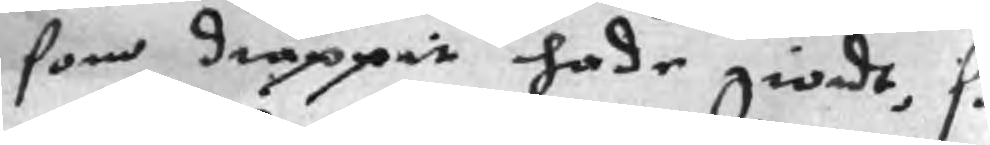som dråppit hade giordt, så
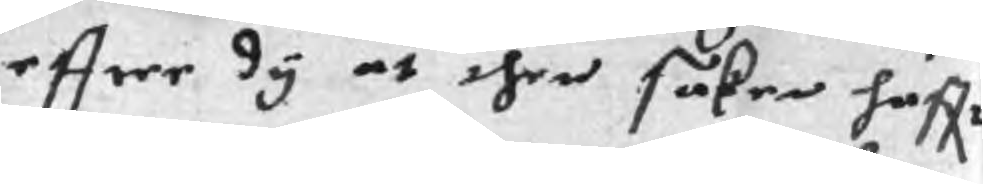effter dy at then saken haffr
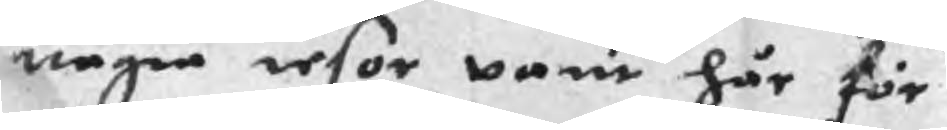någre resor varit här för
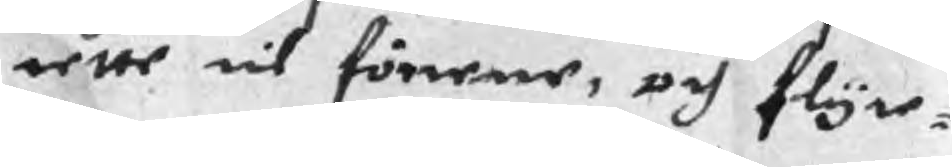rette til föerene, och flyte¬
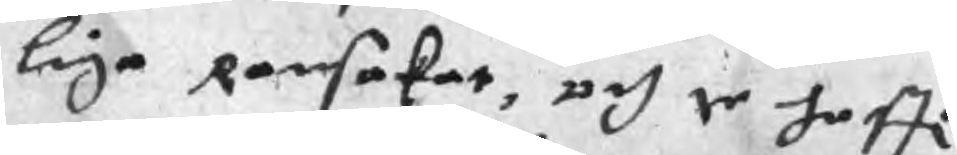liga Ransakat, och te haffr
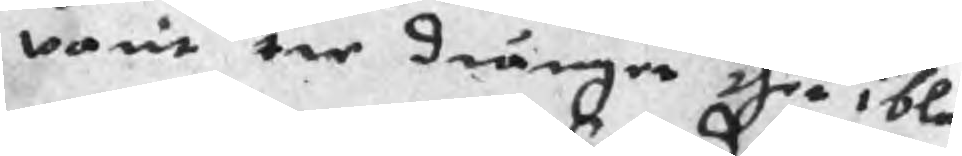varit tre dränger ther iblan
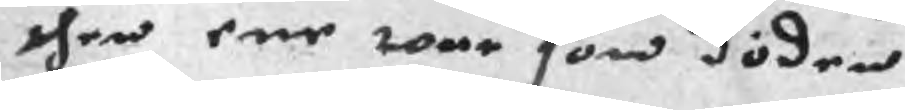then ene war som döden
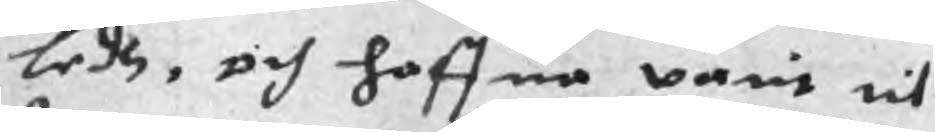ledh, och haffua varit til
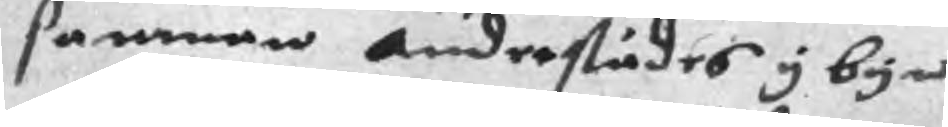samman anderstädes y byn
